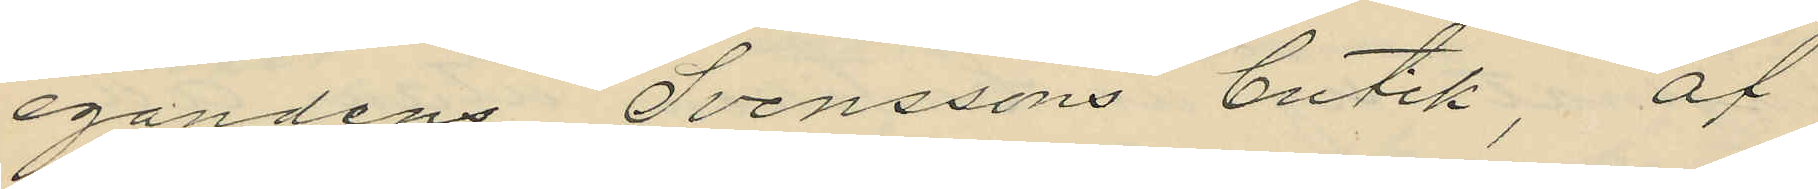egandens Svenssons butik, af
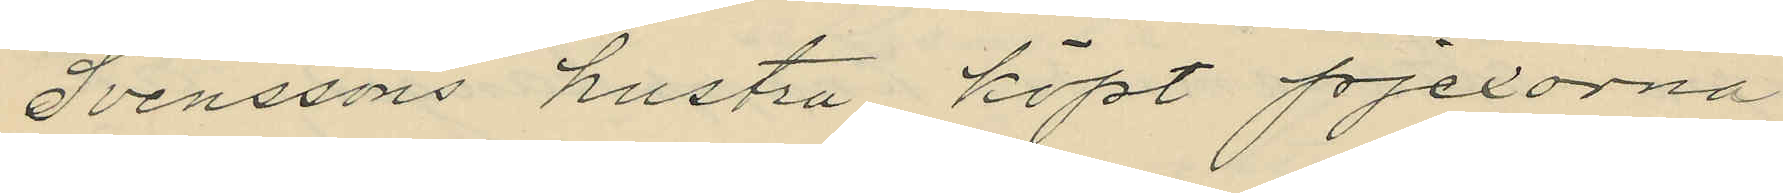Svenssons hustru köpt pjexorna
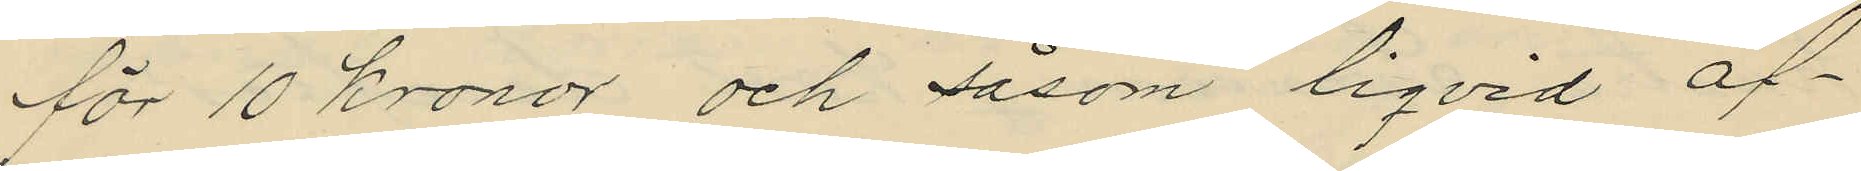för 10 kronor och såsom liqvid af¬
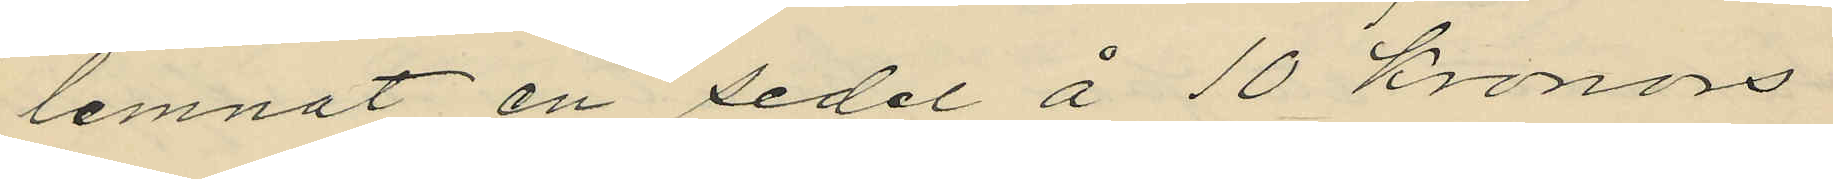lemnat en sedel å 10 kronors
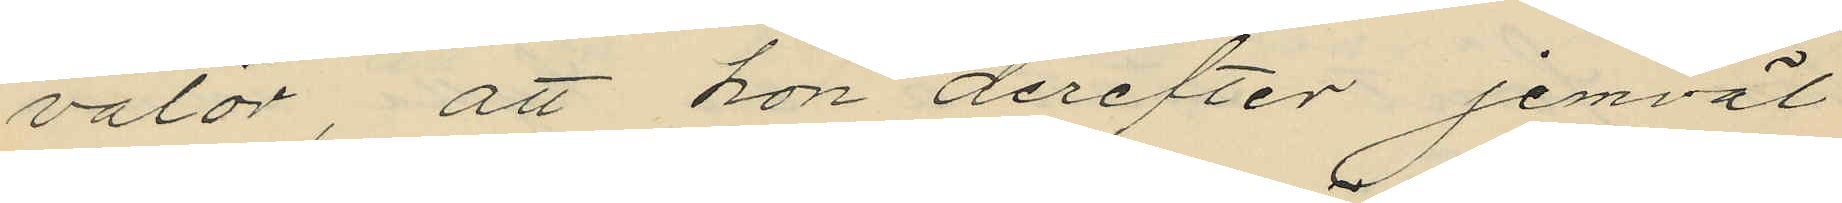valör, att hon derefter jemväl
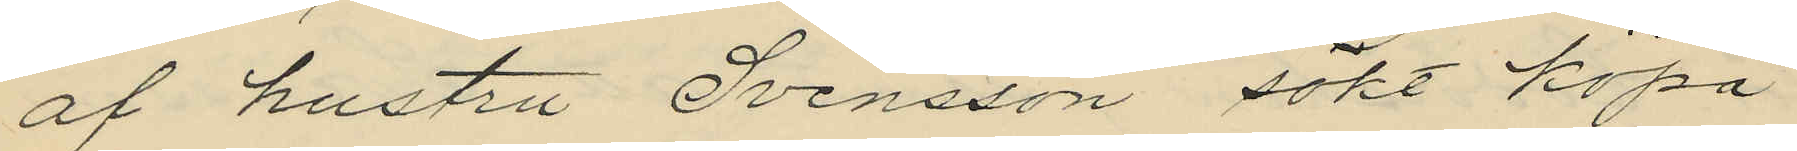af hustru Svensson sökt köpa
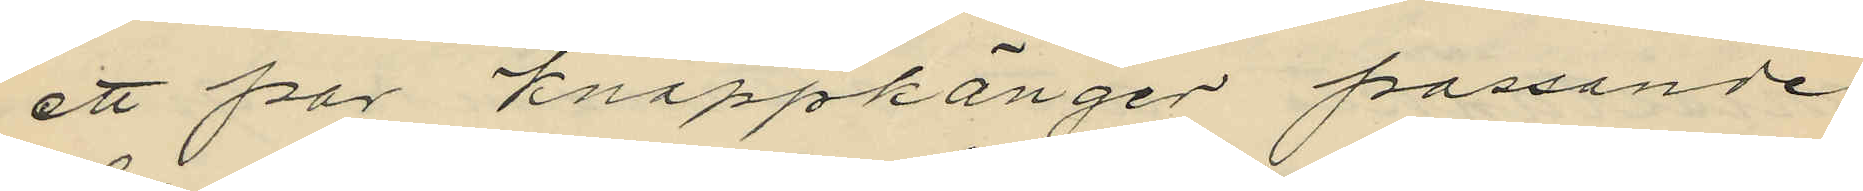ett par knäppkänger passande
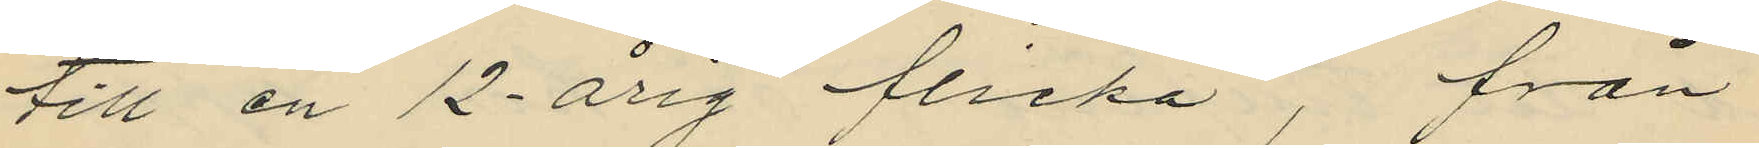till en 12 årig flicka, från
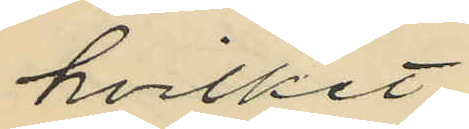hvilket
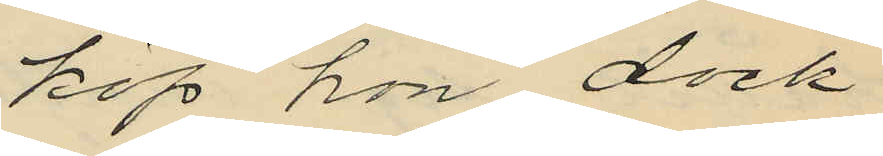köp hon dock
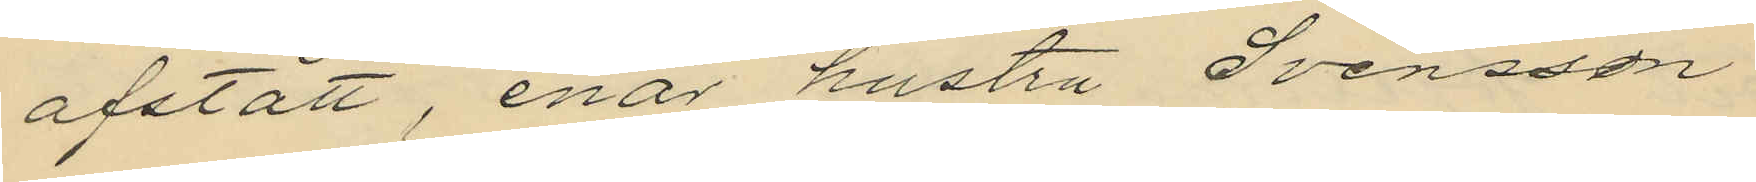afstått, enär hustra Svensson
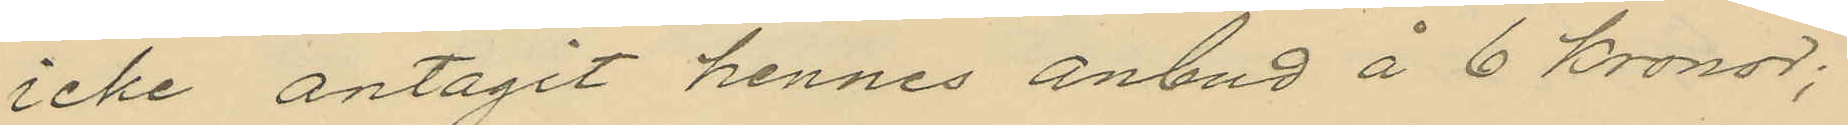icke antagit hennes anbud å 6 kronor;
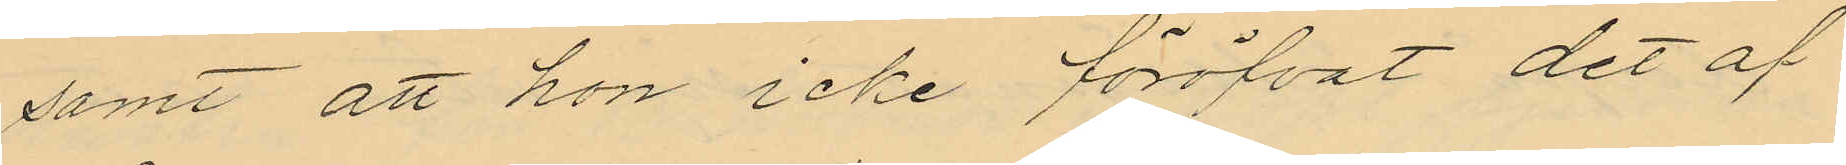samt att hon icke föröfvat det af
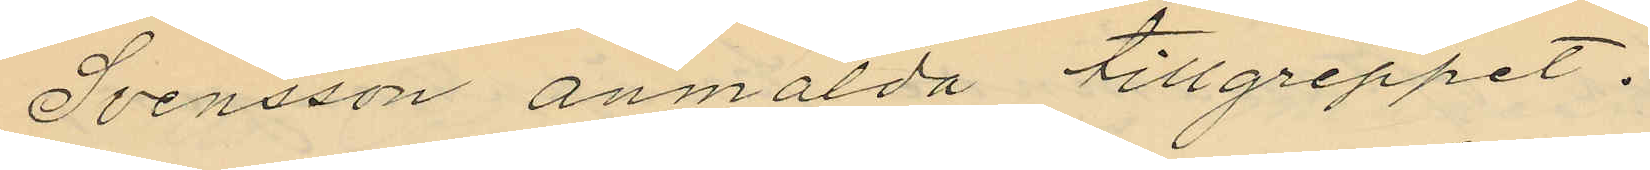Svensson anmälda tillgreppet.
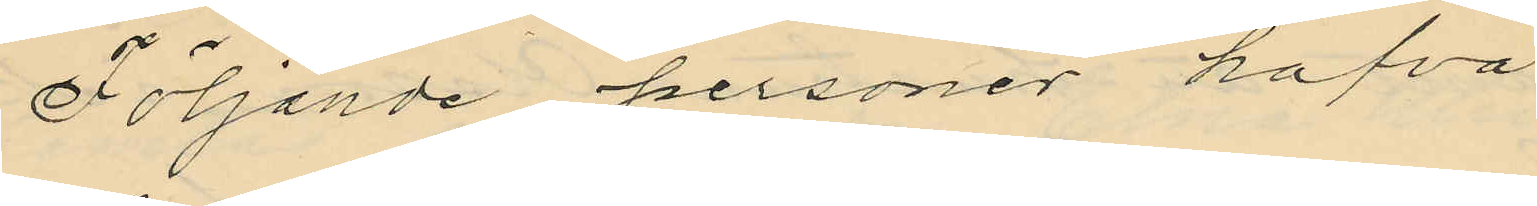Följande personer hafva
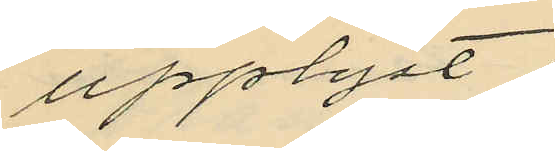upplyst:
